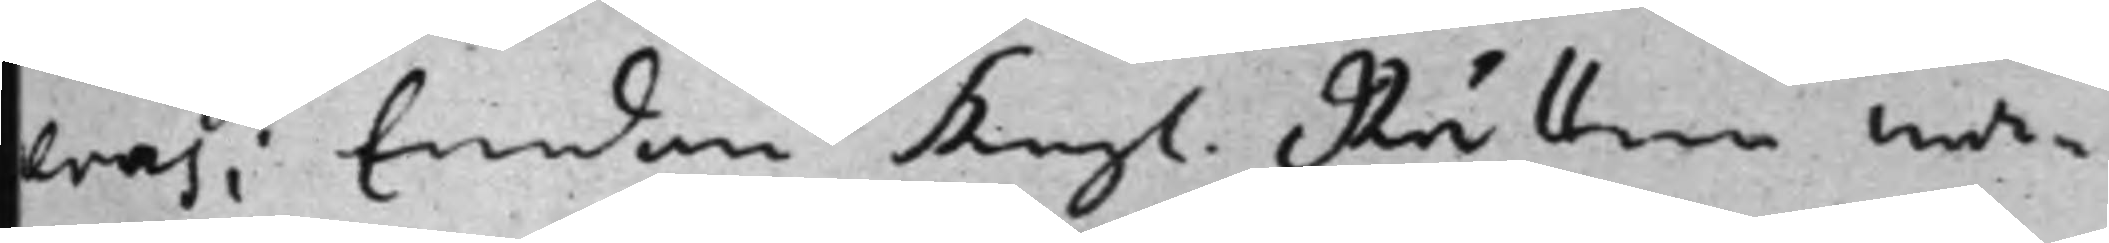eras; Emedan Kongl. Rätten wa¬
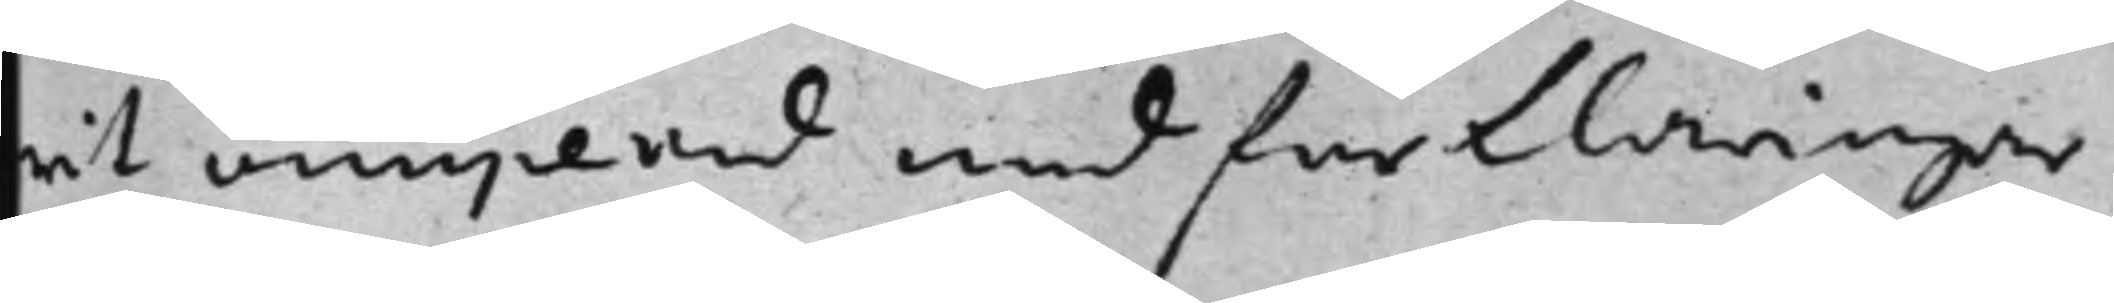rit occuperad med förklaringar
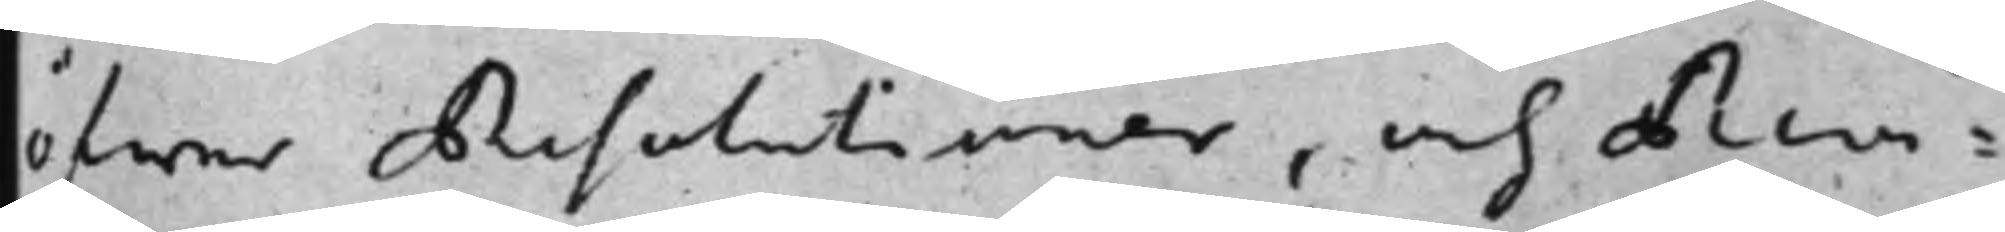öfwer Resolutioner, och Revi¬
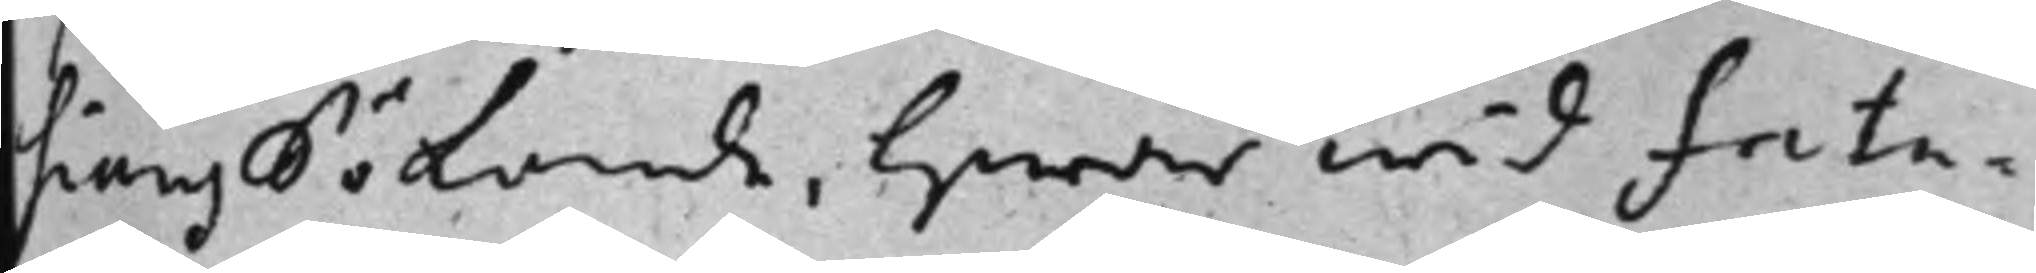sionssökande, hwarwid fata¬
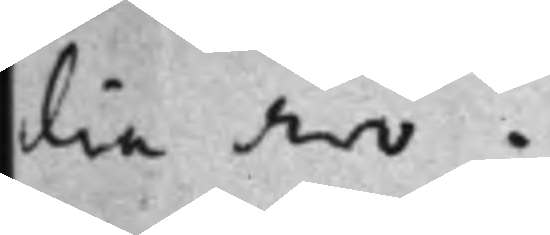lia äro.
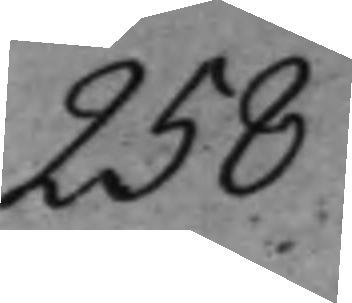258
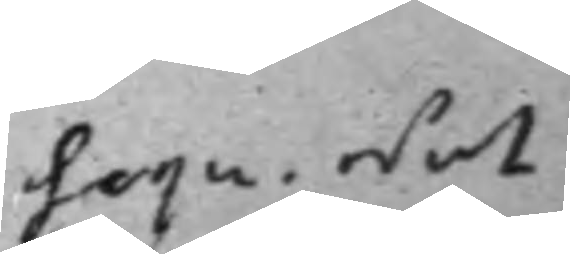Sequ. Not
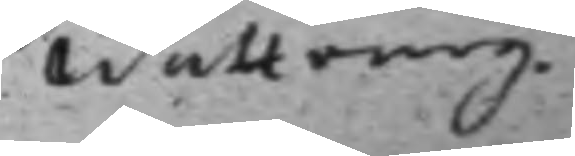Wattrang.
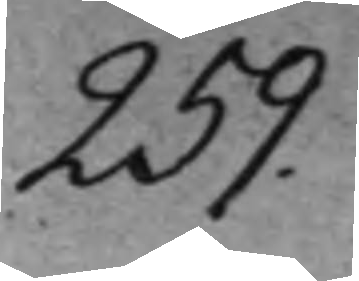259.
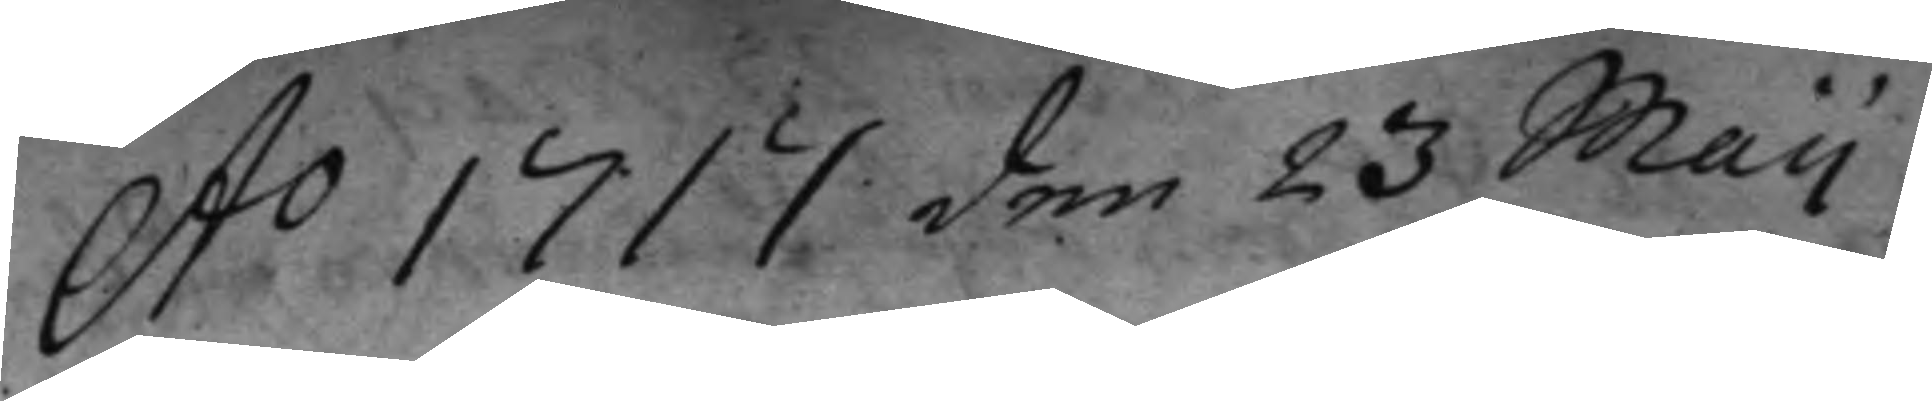Ao 1717 den 23 Maij
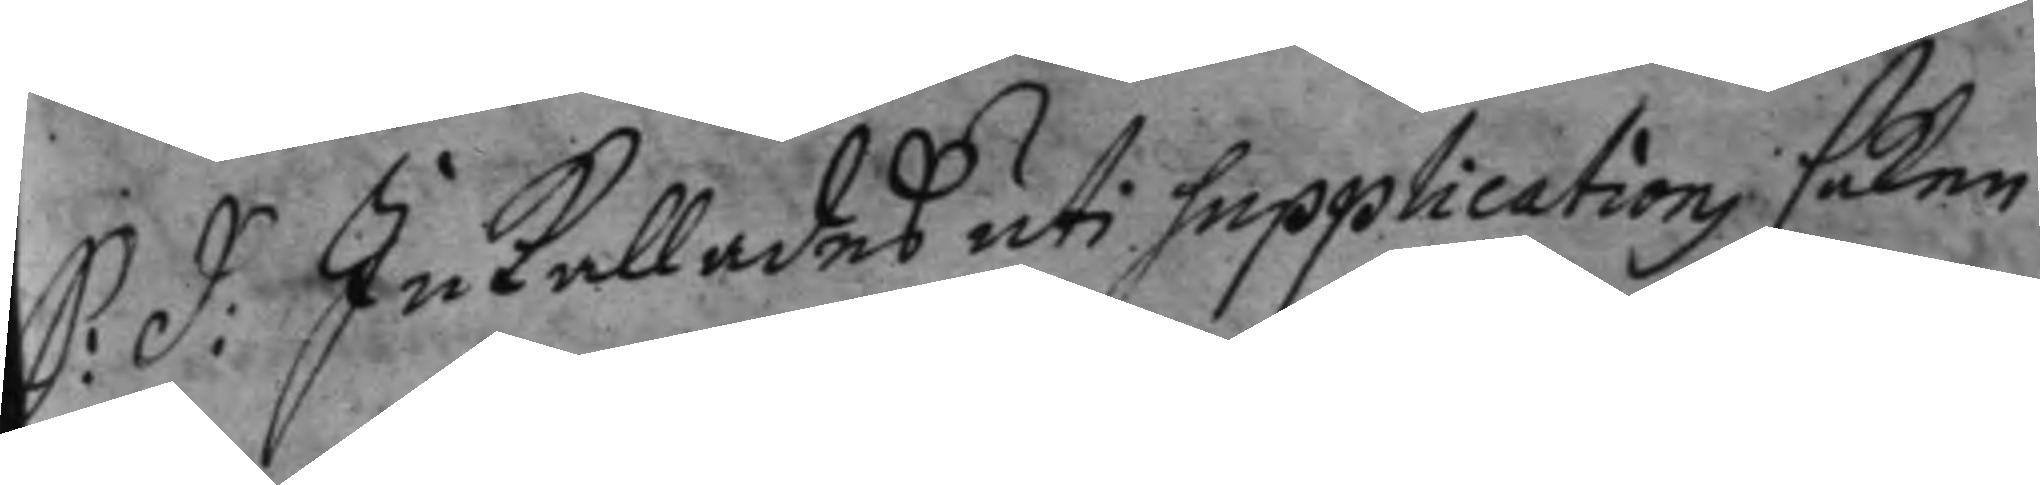S: D: Inkallades uti supplications saken
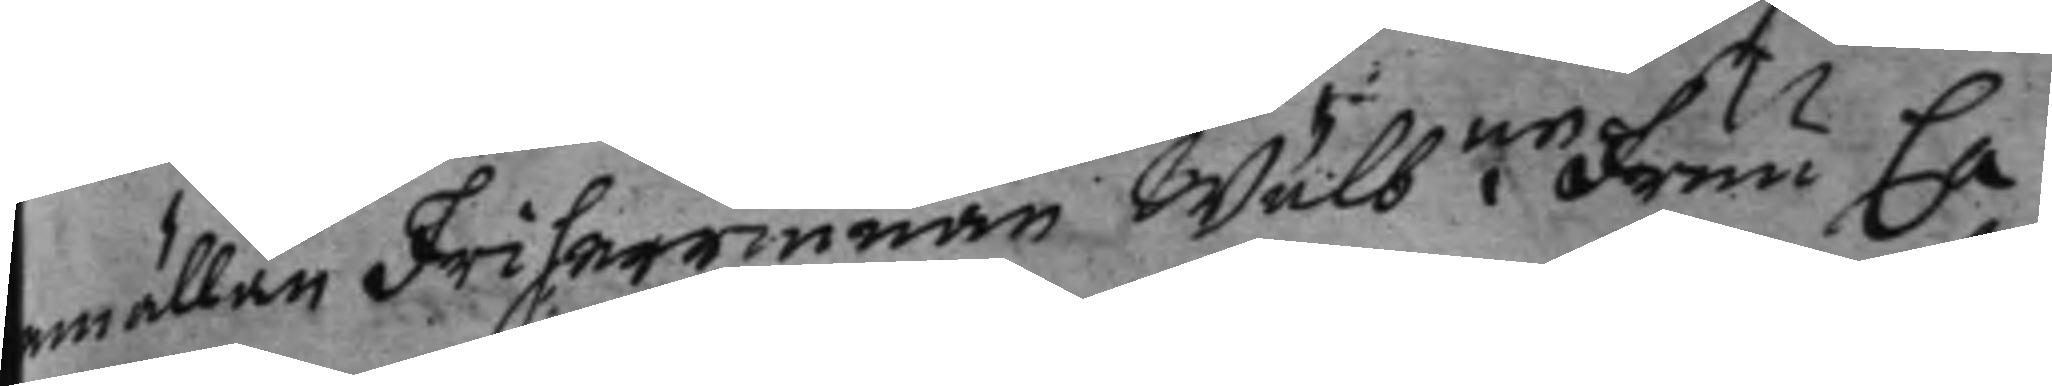emällan Friherrinnan Wälbne fruu Ca¬
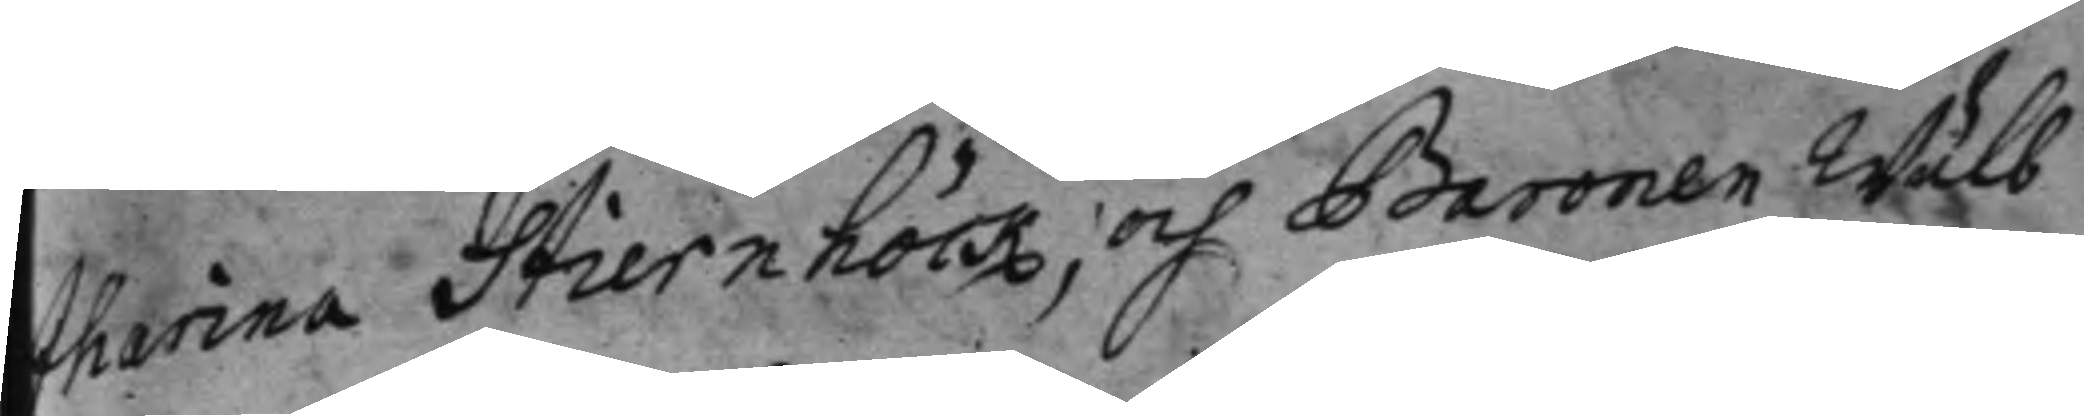tharina Stiernhöök, och Baronen Wälb
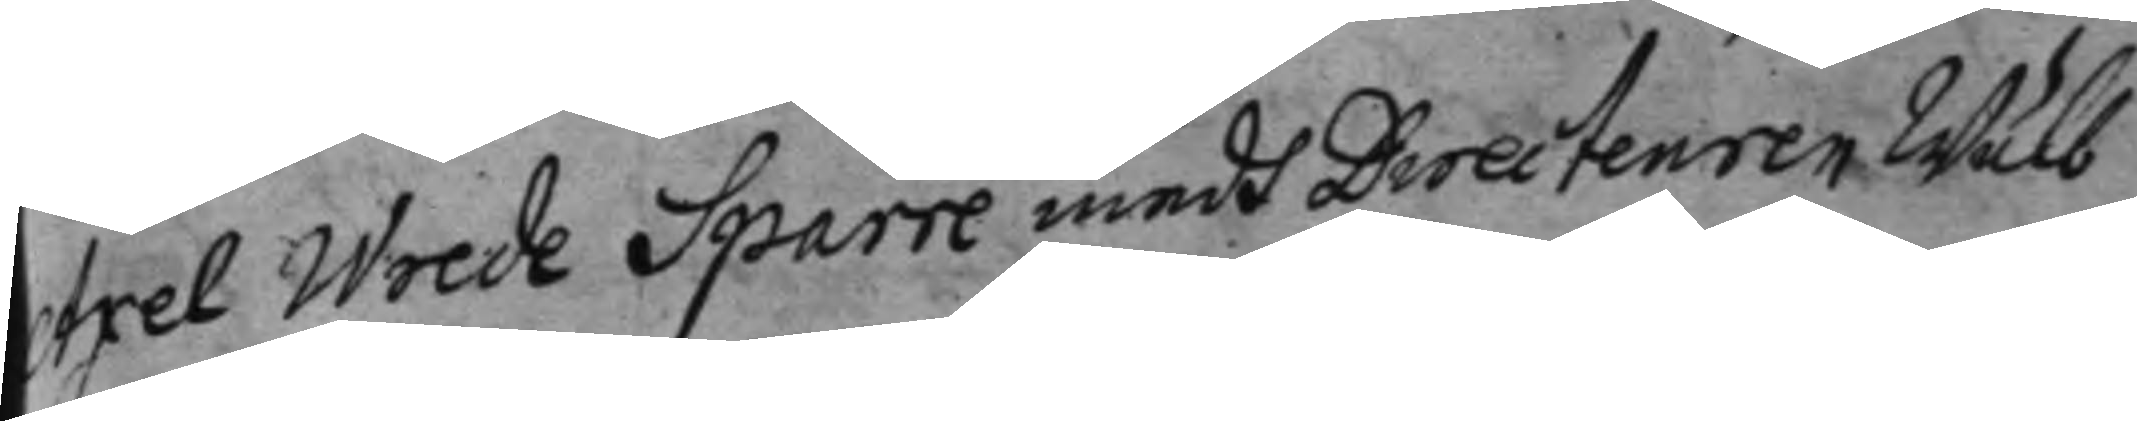Axel Wrede Sparre medh Directeuren Wälb
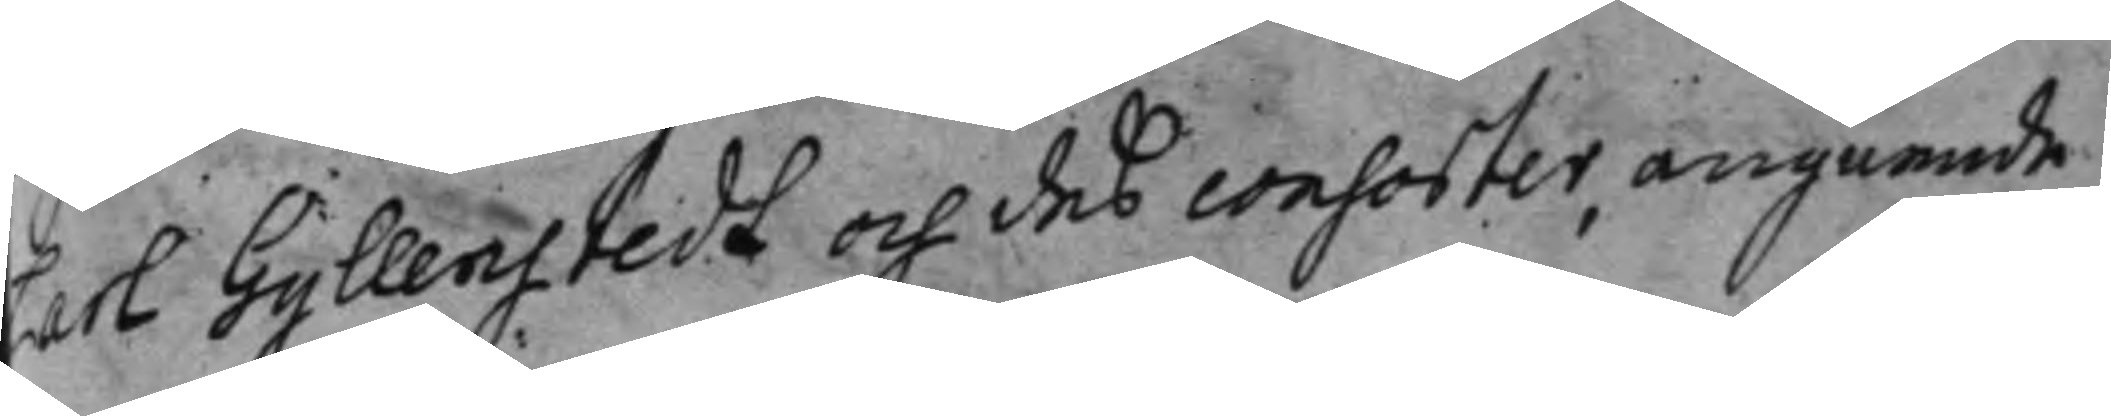Carl Gyllenstadt och deß consorter, angående
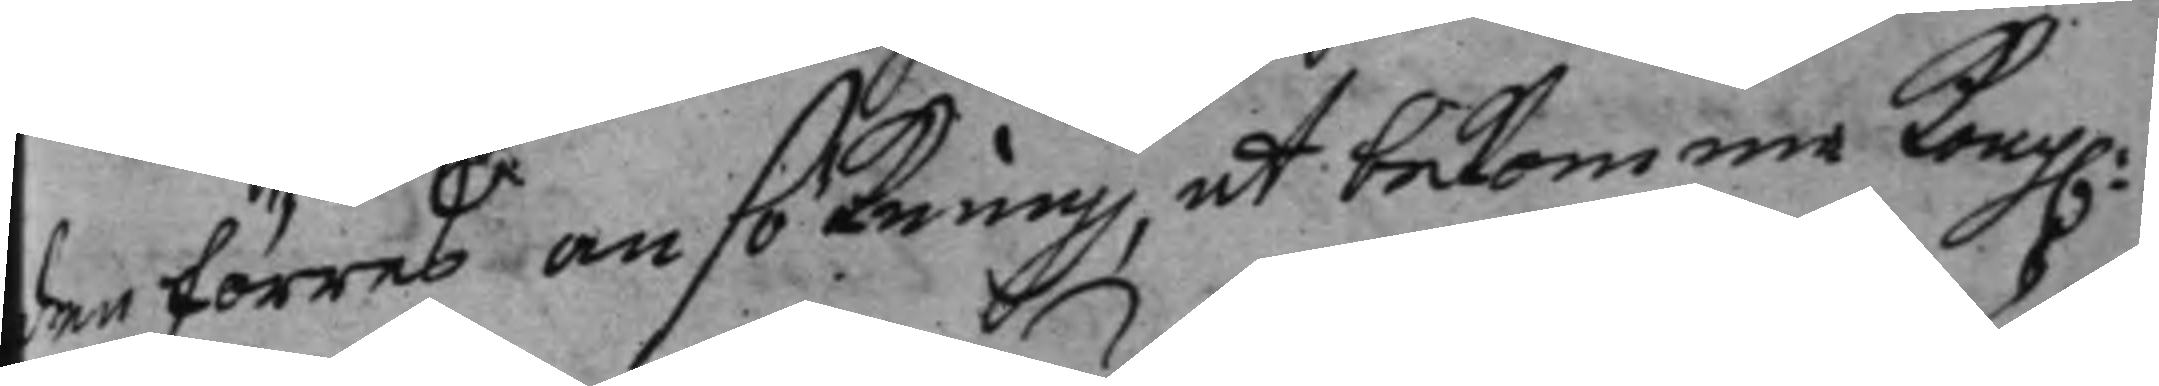den förres ansökning, att bekomma Kong:
